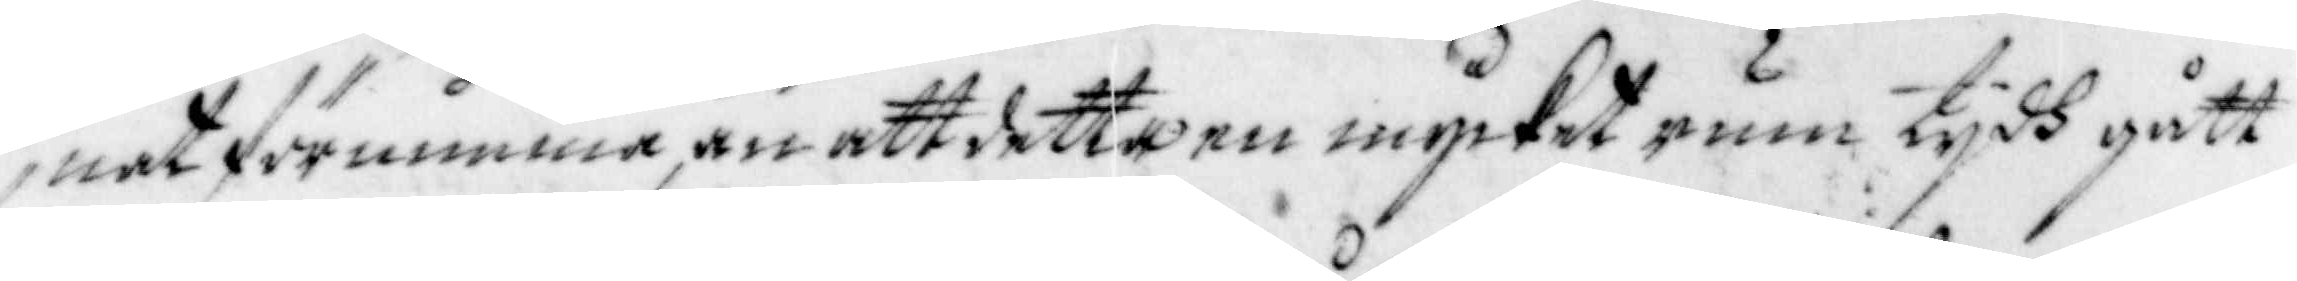nat förnimma, än att detta en mycket rum tijdh gått
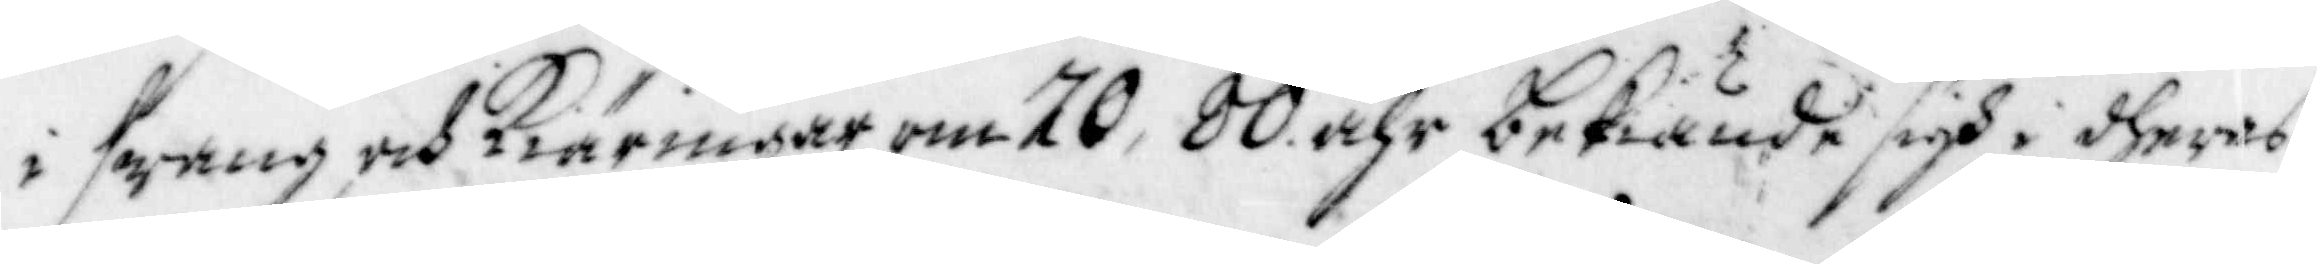i swang och Kiäringar om 70, 80 åhr bekiände sigh i dheras
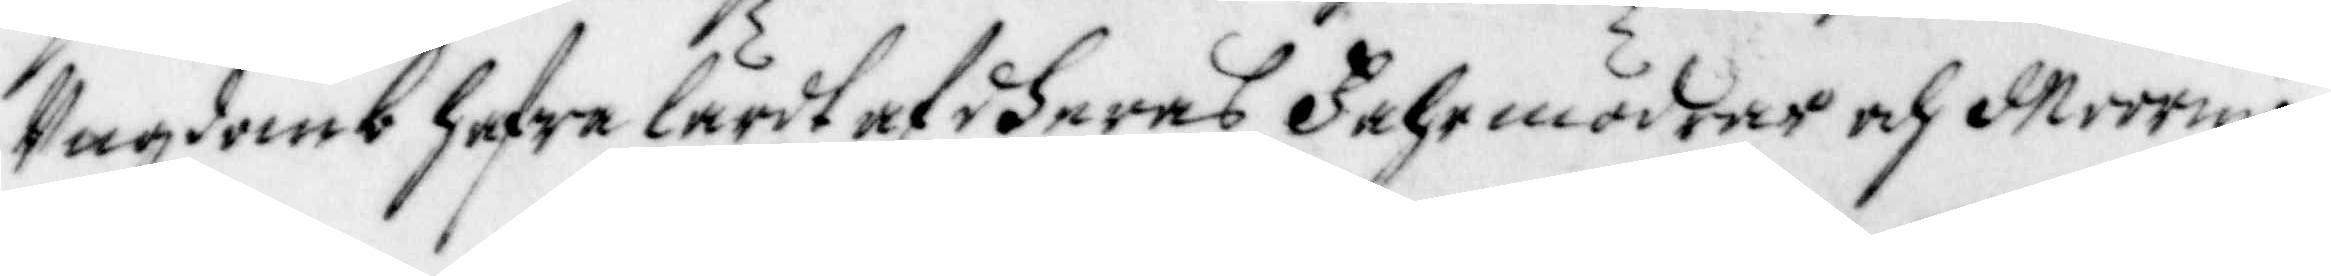Ungdomb hafwa lärdt af dheras Fahrmödrar och Moormö¬
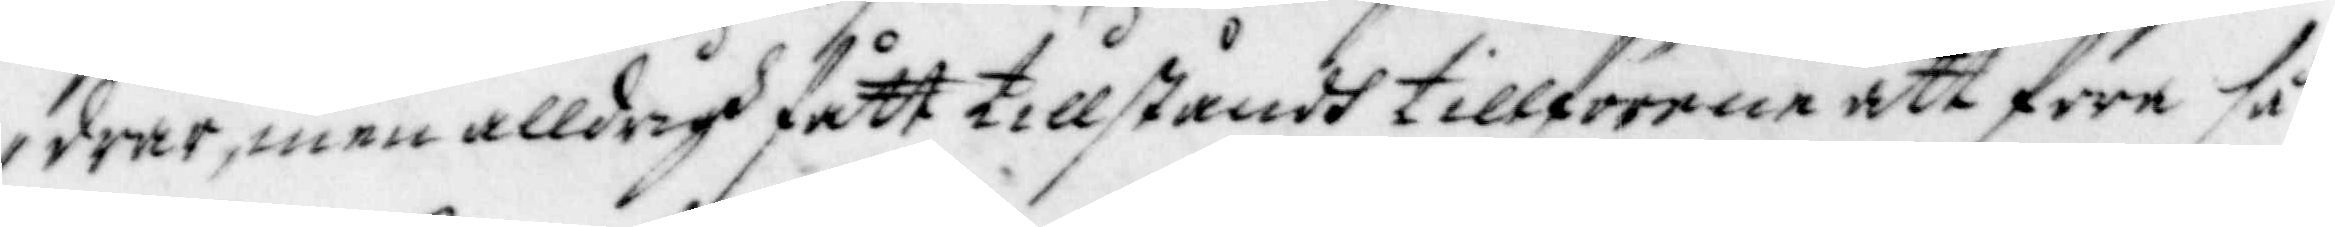drar, men alldrigh fått tillståndh tillförene att före så
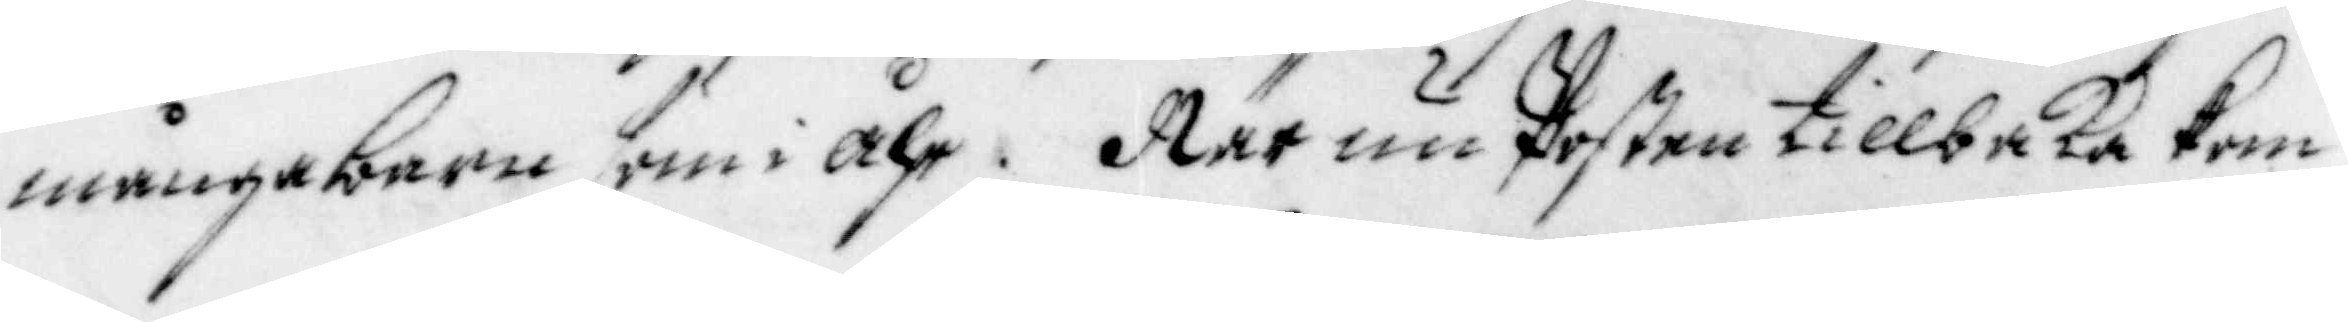många barn som i Åhr. När nu Posten tillbaka kom
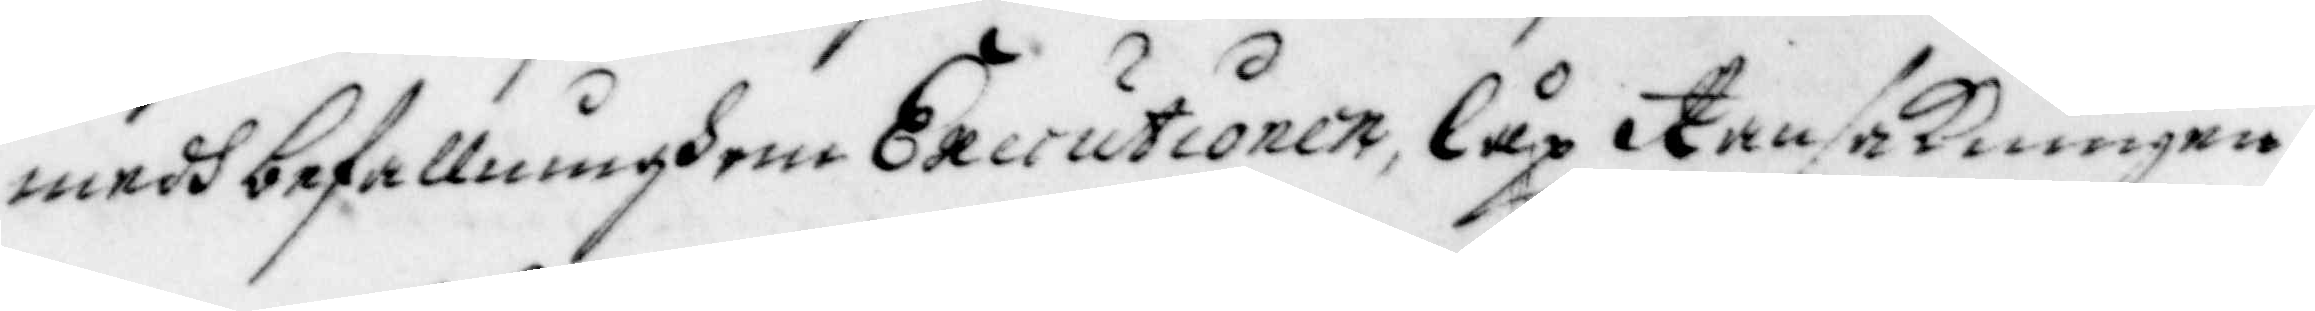medh befallningh om Executionen, låp Ransakningen
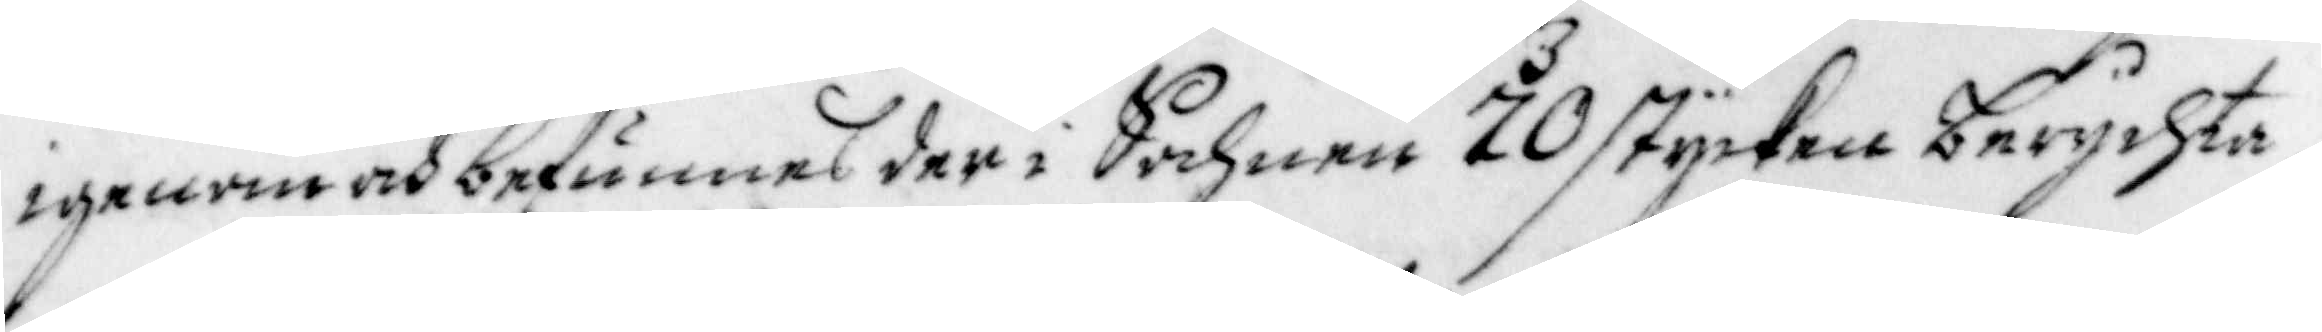igenom och befunnes der i Sochnen 70 stycken berychta¬
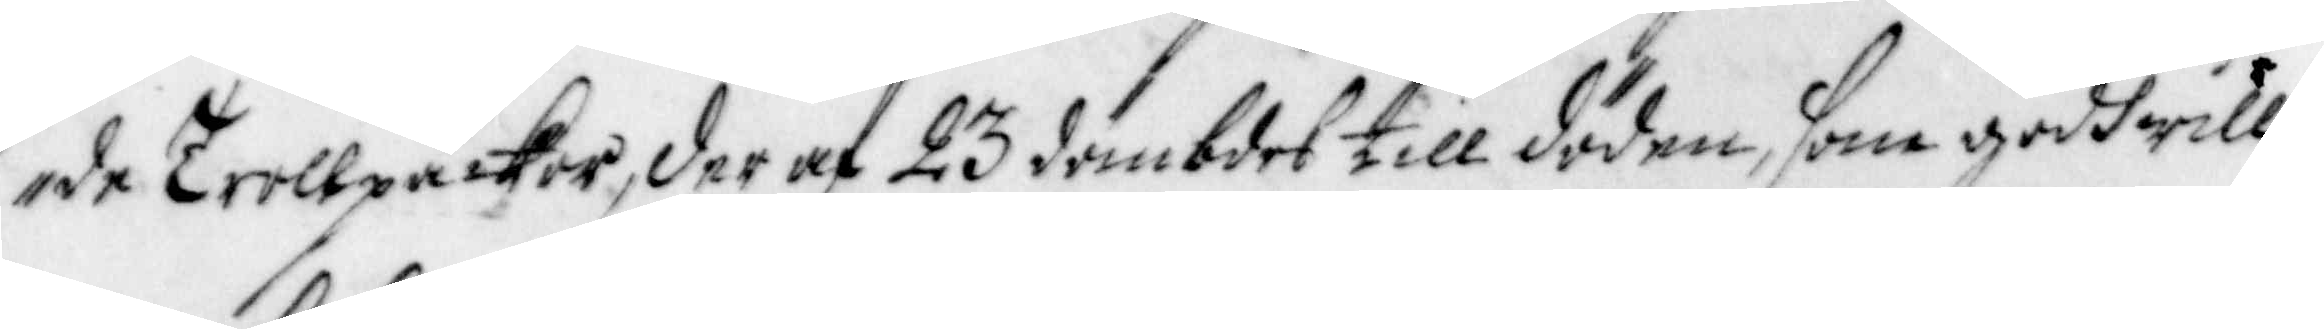de Trollpackor, der af 23 dömbdes till döden, som godhwille¬
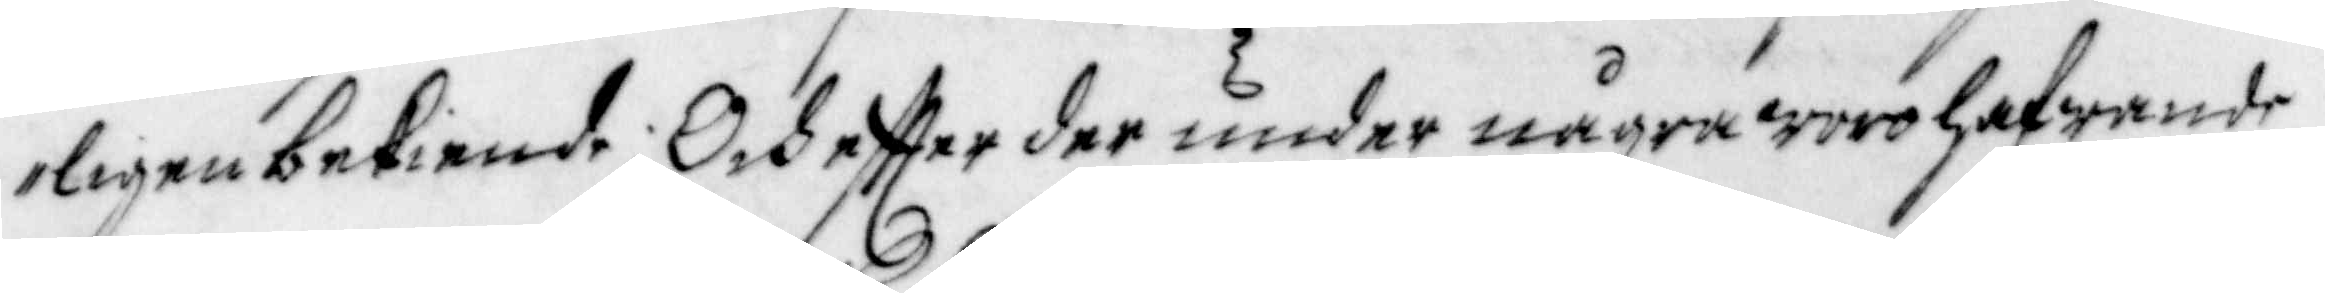ligen bekiende; Och effter der under några woro hafwande
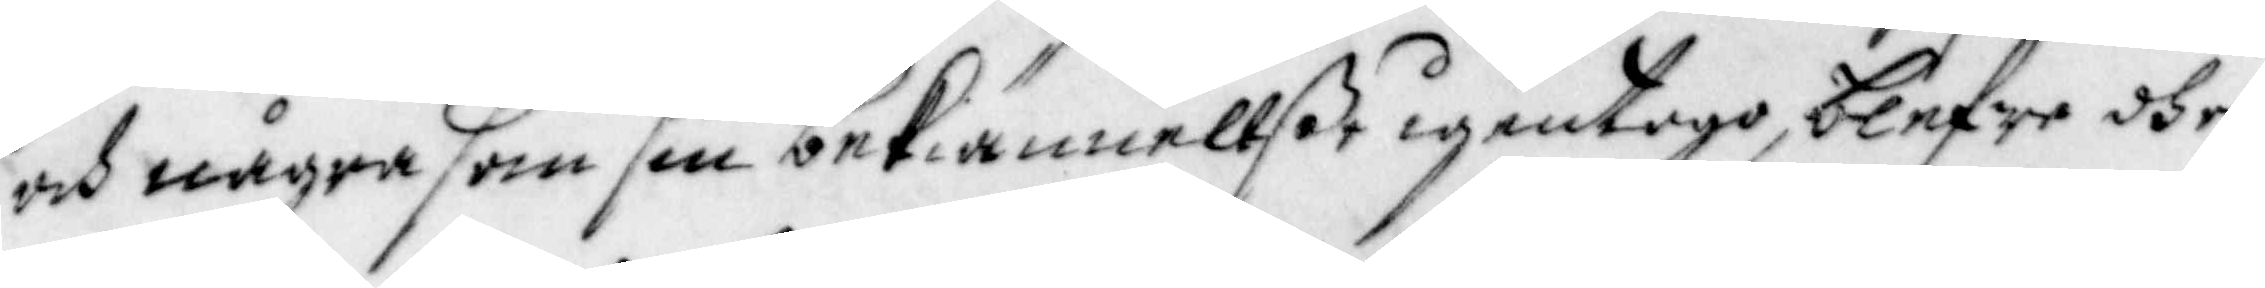och några som sin bekiännellße igentogo, blefwo dhe
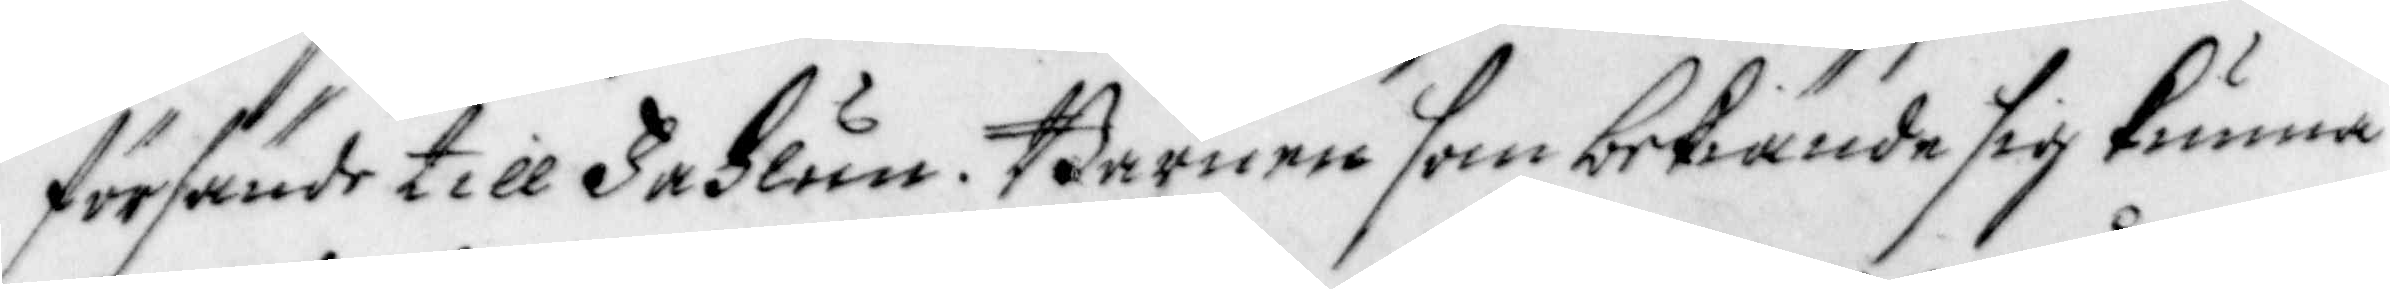försände till Fahlun. Barnen som bekiände sig kunna
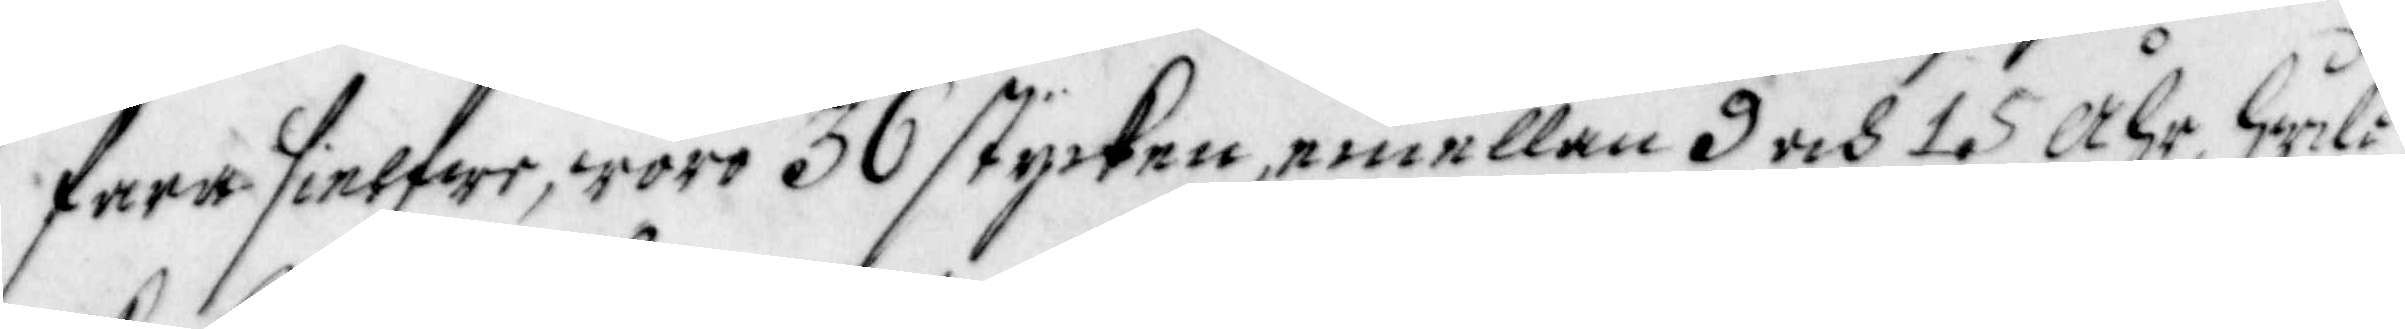fara sielfwe, woro 36 stycken, emellan 9 och 15 Åhr, hwil¬
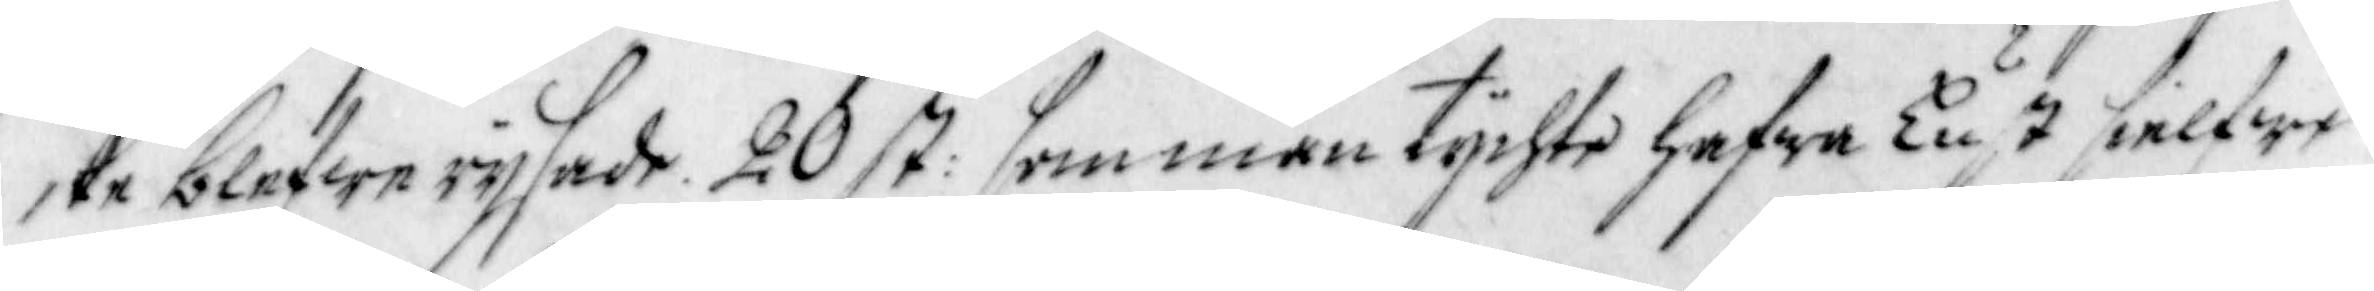cke blefwo rijsade. 20 st. som man tychte hafwa Lust sielfwe¬
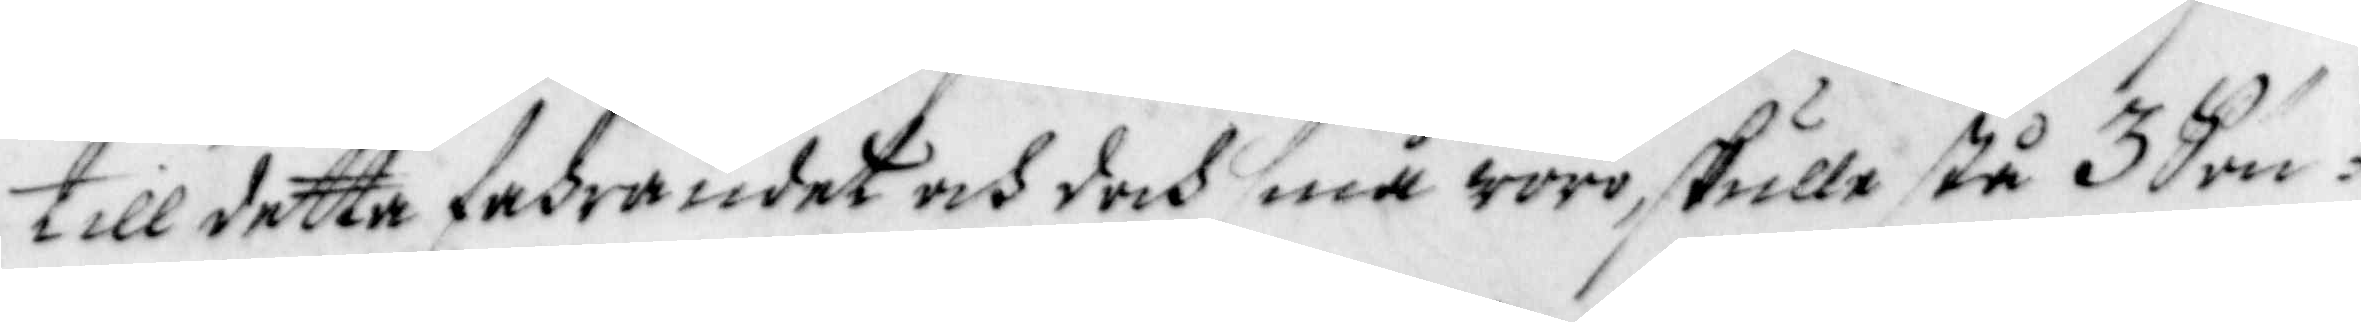till detta fahrandet och doch små woro skulle stå 3 Sön-
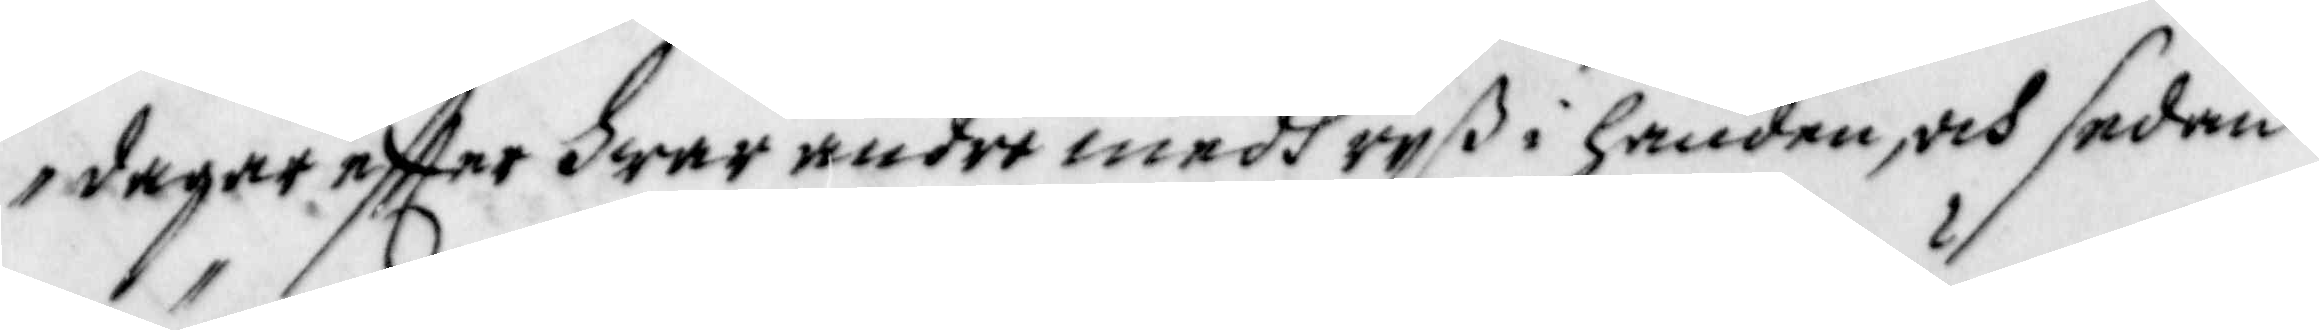dagar effter hwar andre medh rijß i handen, och sedan
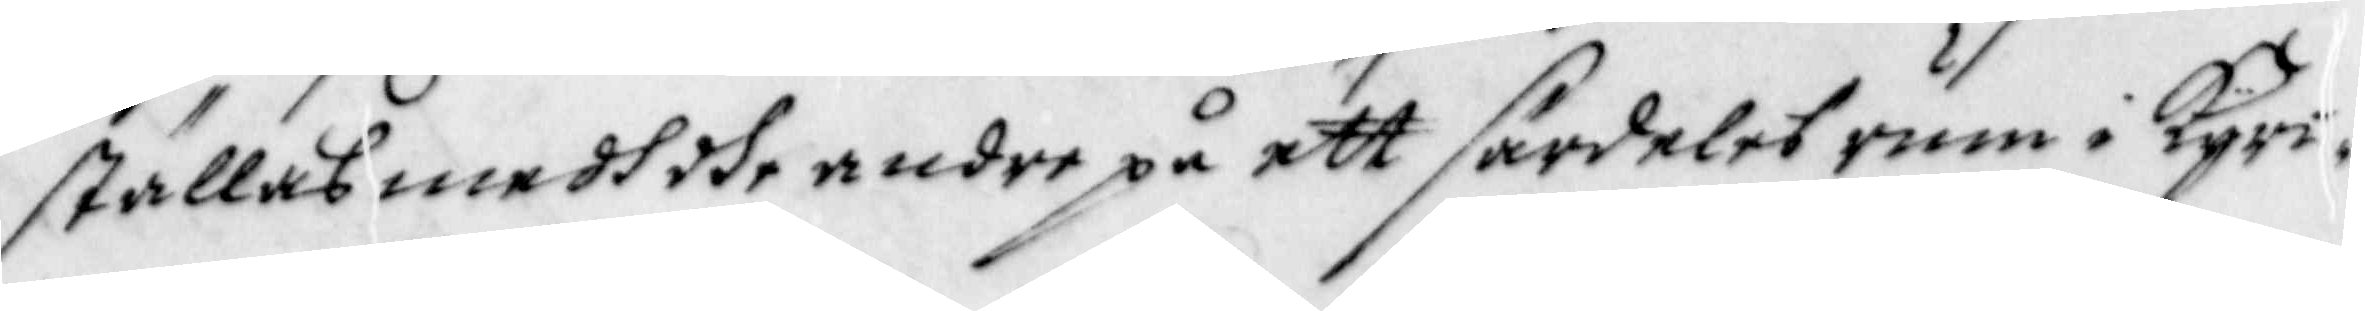ställas medh dhe andre på ett särdeles rum i Kyrc¬
